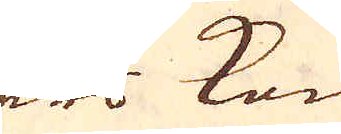Eders Kongl. May:ts
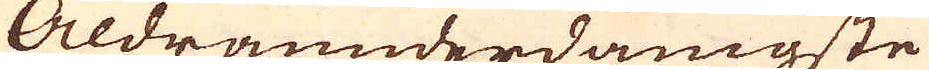Aldraunderdånigste
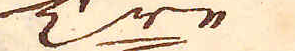T:re
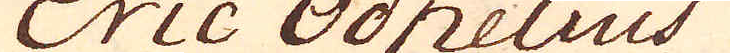Eric Odhelius
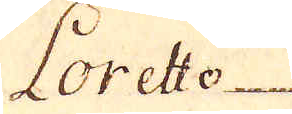Loreto
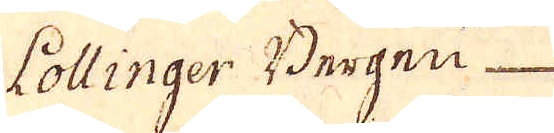Coltinger Bergen
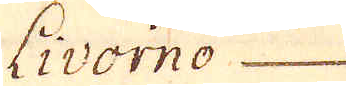Eivorno
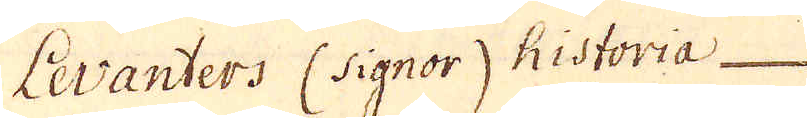Levanters Csignor, Kistoria
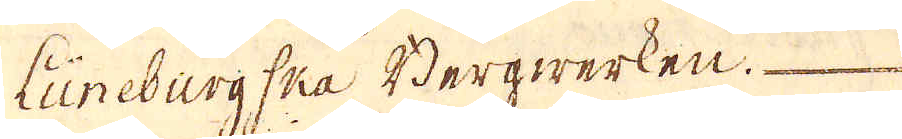LineburgCha Bergwerken.
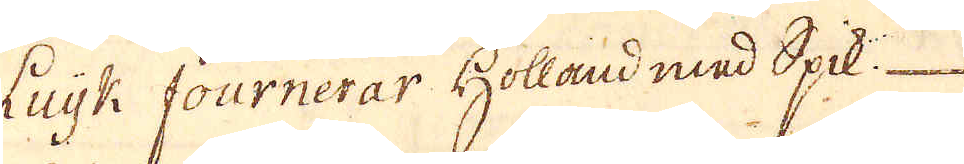Euik Cournerar Hollaud mad Spk
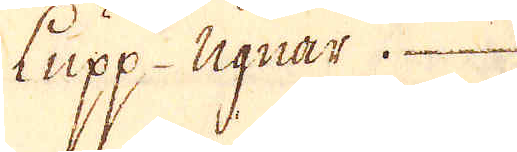Kupp ugnar.
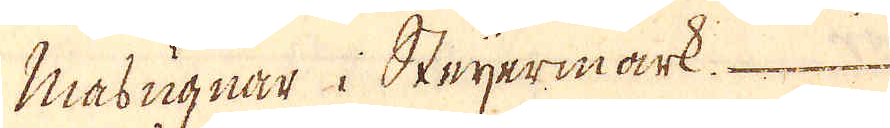Masugnar i Steyermärk
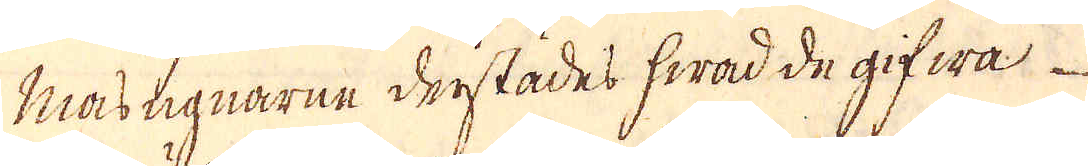Mastignarne dristades hwad de gifwa
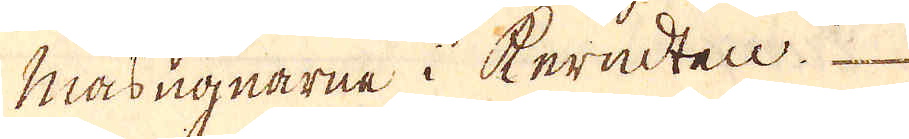nasugnarne i Keracteu.
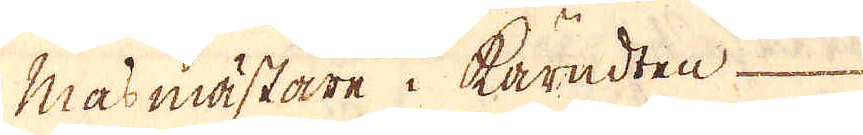Masmästare i karadten
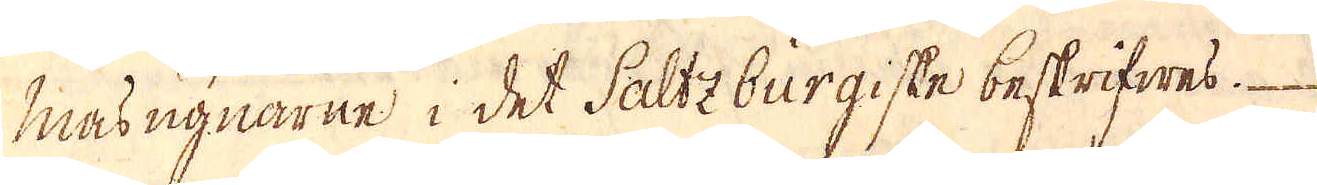Masugnarne i det Sabtzburgiske beskrifwes
